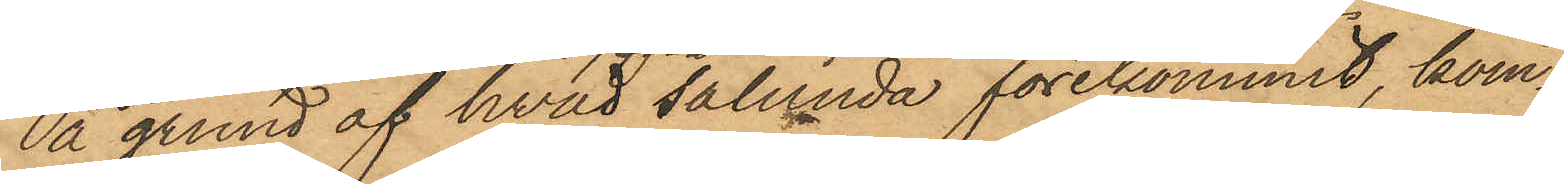På grund af hvad sålunda förekommit, kom¬
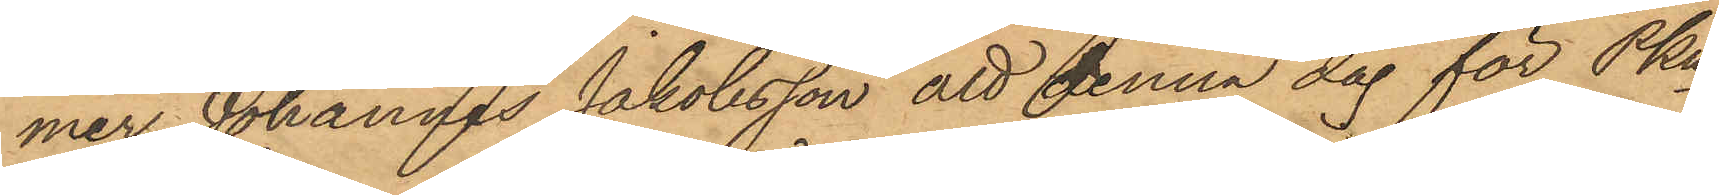mer Johannes Jakobsson att denna dag för Pkn
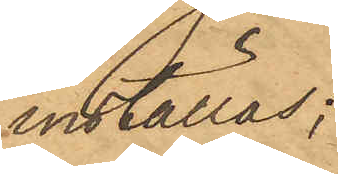inställas;
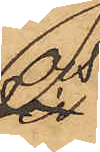och
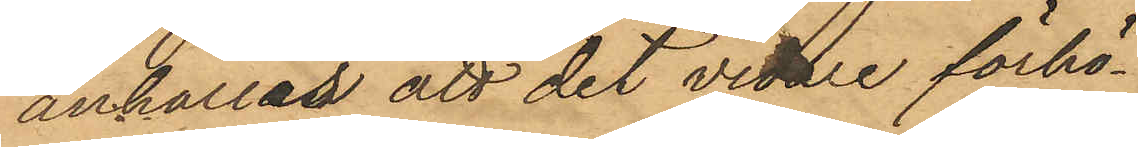anhållas att det vidare förhö¬
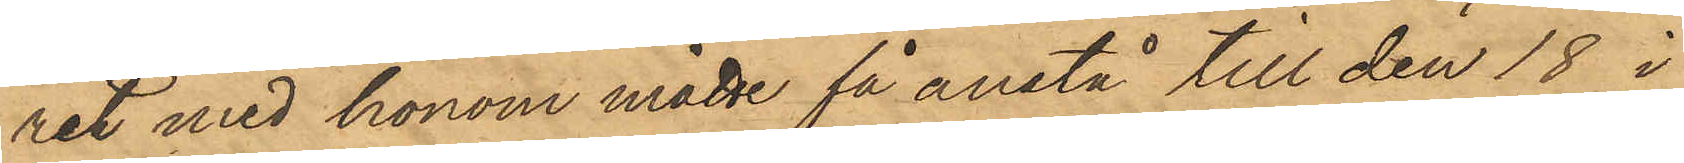ret med honom måtte få anstå till den 18 i
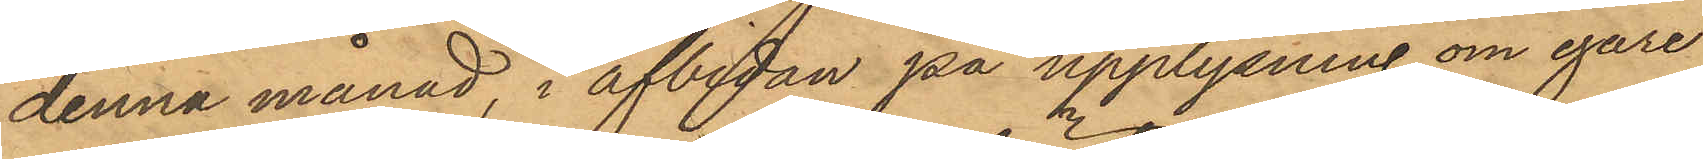denna månad, i afbidan på upplysning om egare
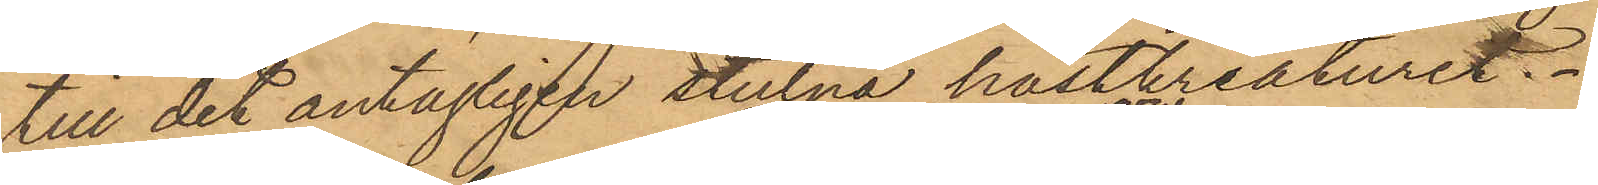till det antagligen stulna hästkreaturet.
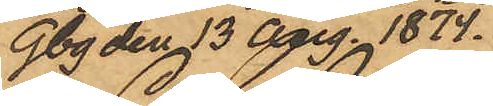Gbg den 13 Aug. 1874.
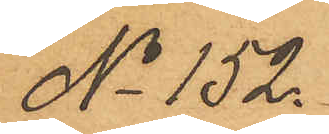No 152.
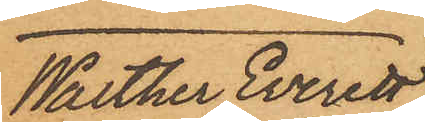Walter Everett
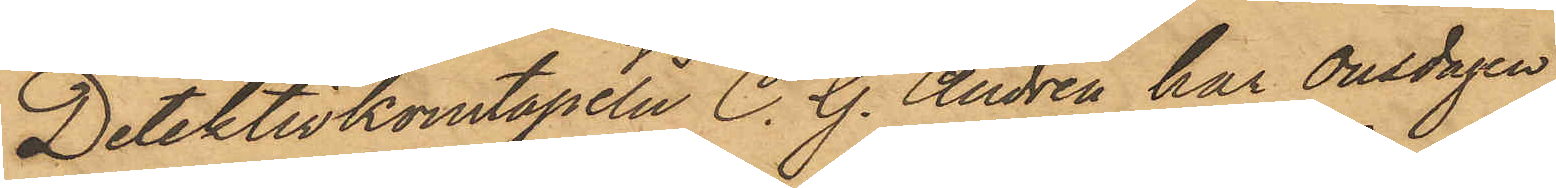Detektivkonstapeln C. G. Andrén har Onsdagen
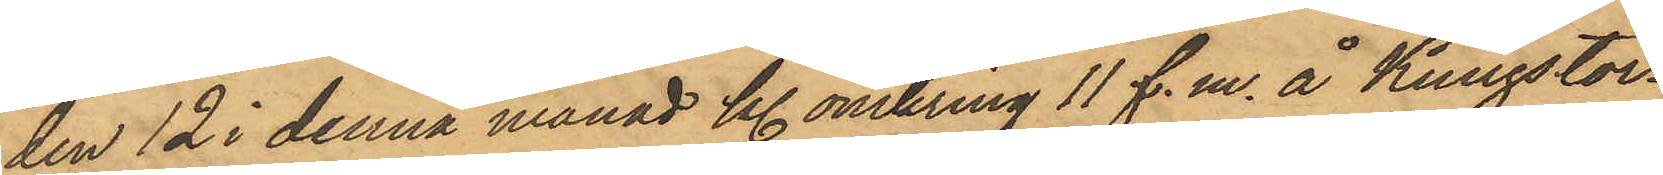den 12 i denna månad Kl. omkring 11 f.m. å Kungstor¬
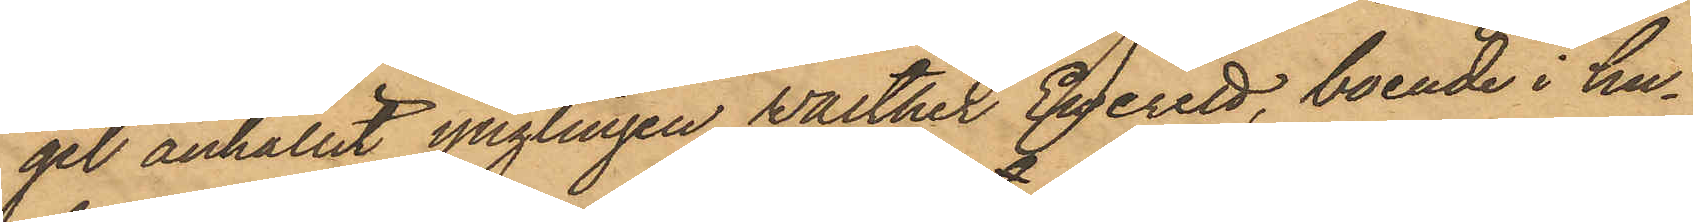get anhållit ynglingen Walter Everett, boende i hu¬
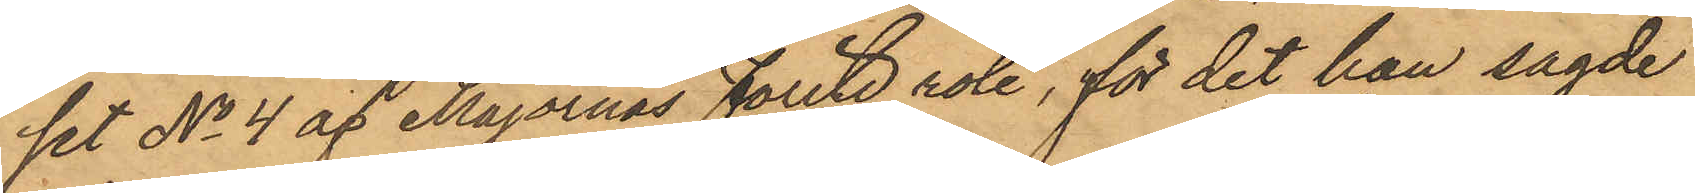set No 4 af Majornas Femte rote, för det han sagde
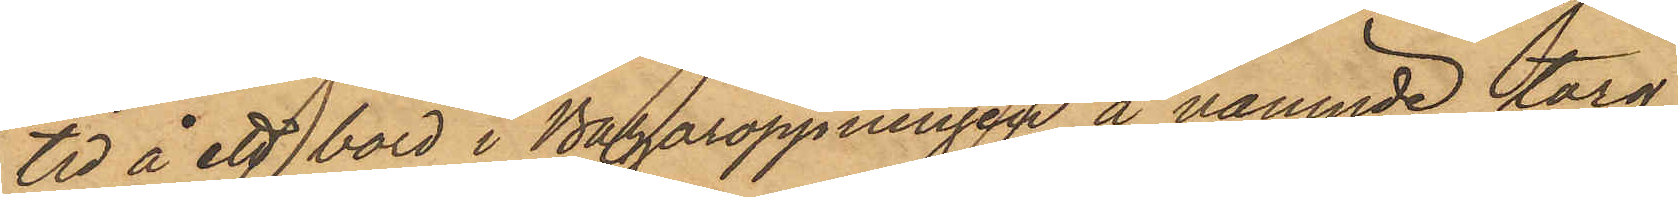tid å ett bord i Bazaröppningen å nämnde torg
